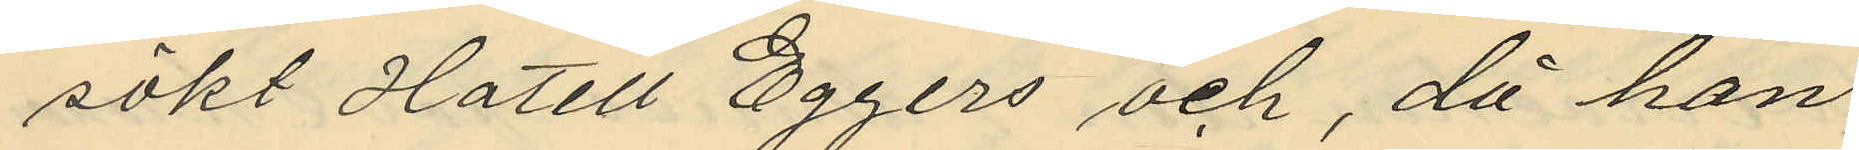sökt hotell Eggers och, då han
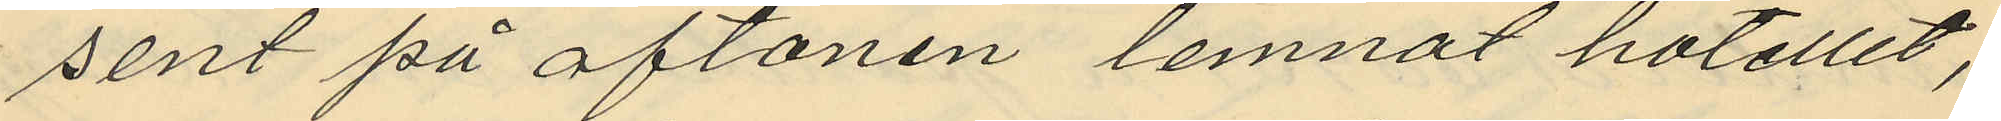sent på aftonen lemnat hotellet,
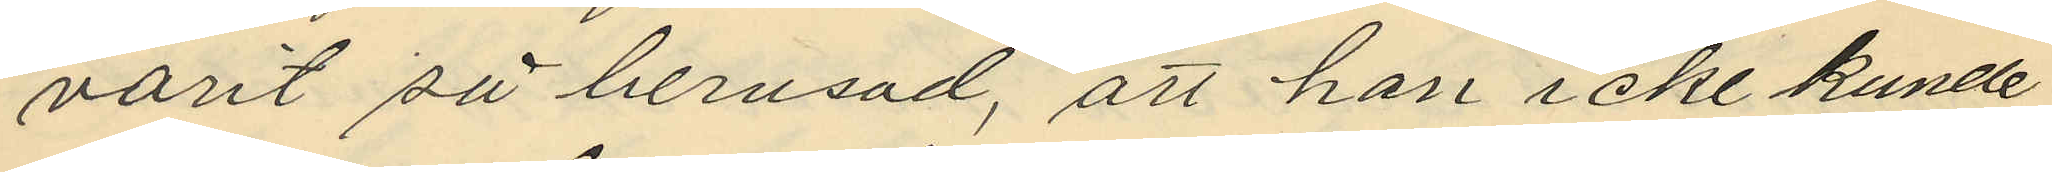varit så berusad, att han icke kunde
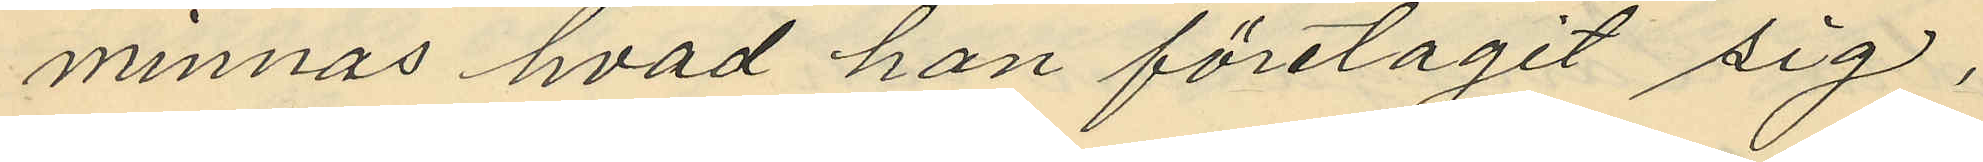minnas hvad han företagit sig,
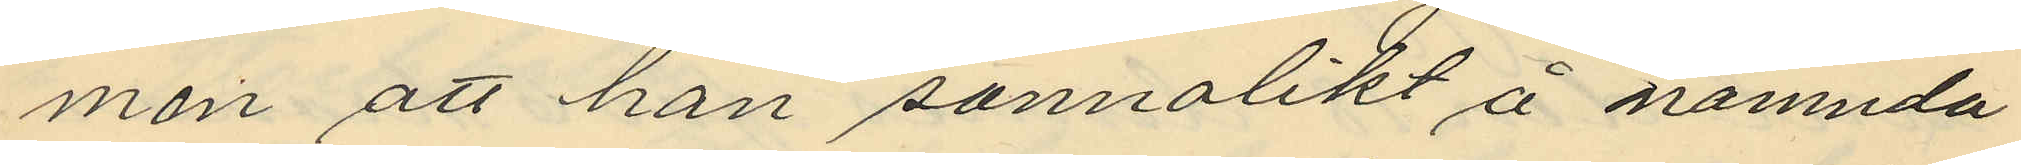men att han sannolikt å nämnda
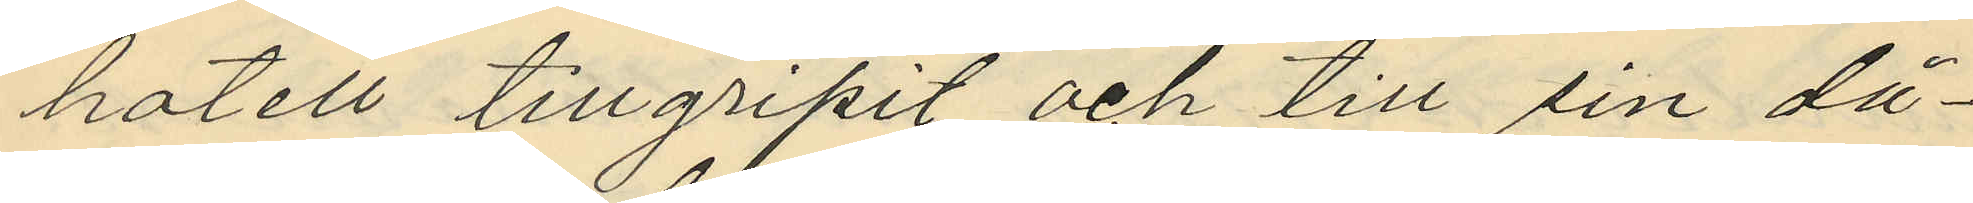hotell tillgripit och till sin då¬
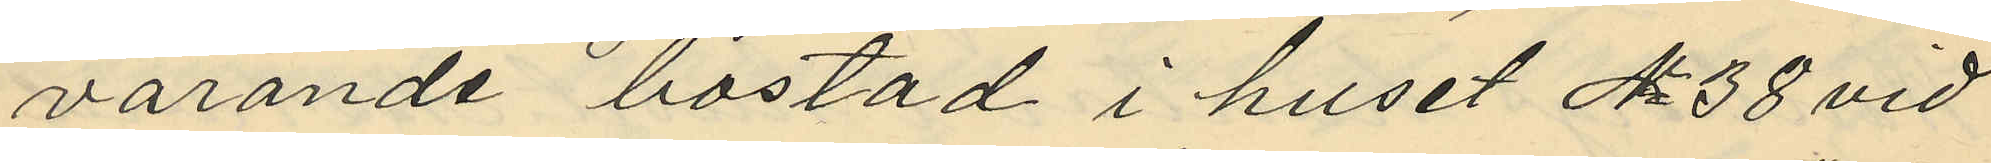varande bostad i huset No 38 vid
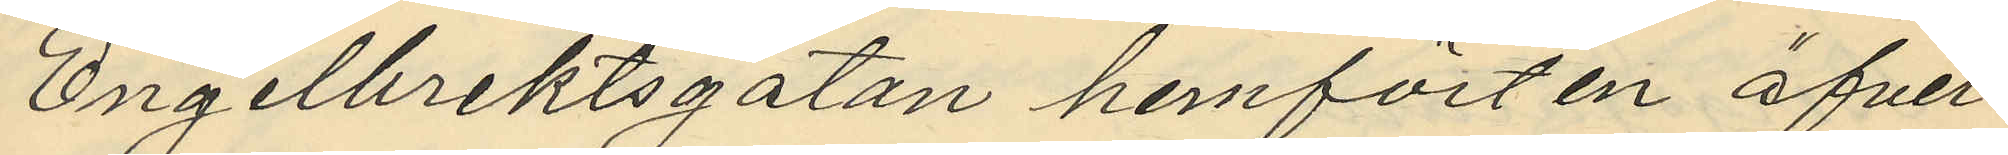Engelbrektsgatan hemfört en öfver¬
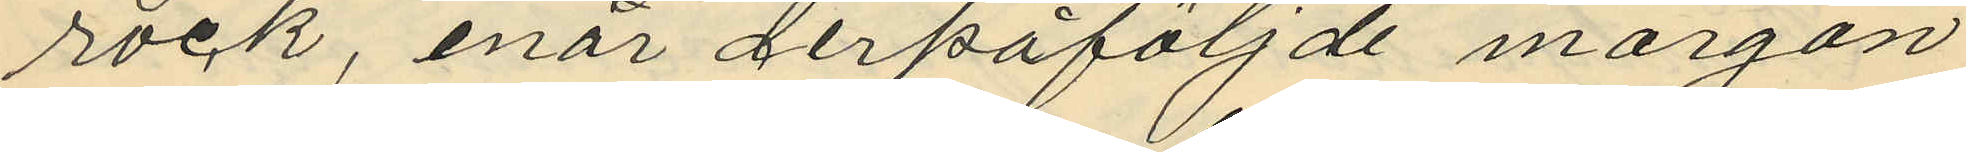rock, enär derpåföljande morgon
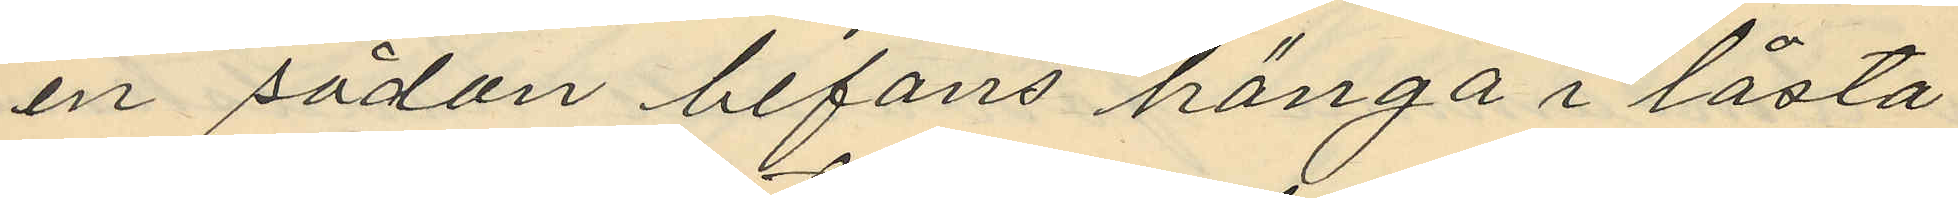en sådan befans hänga i låsta
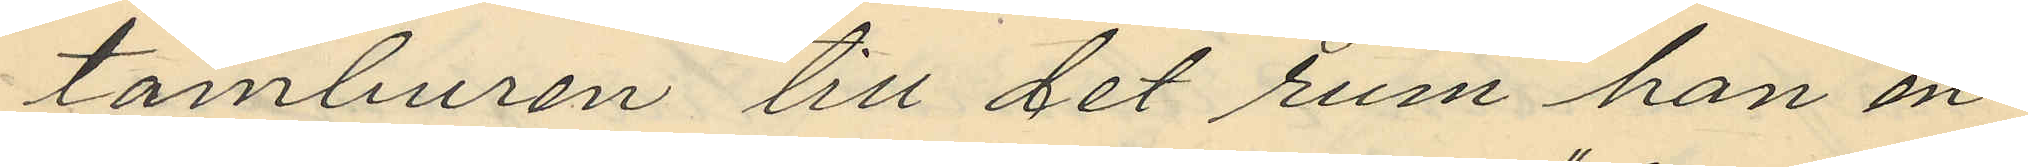tamburen till det rum han en¬
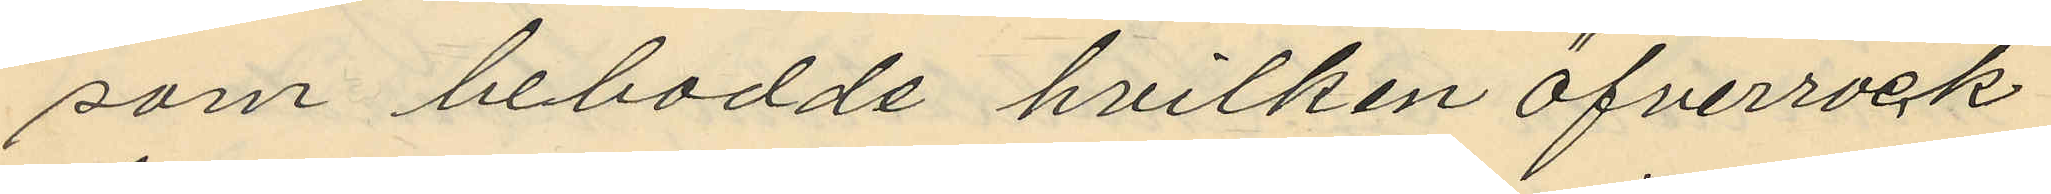som bebodde hvilken öfverrock
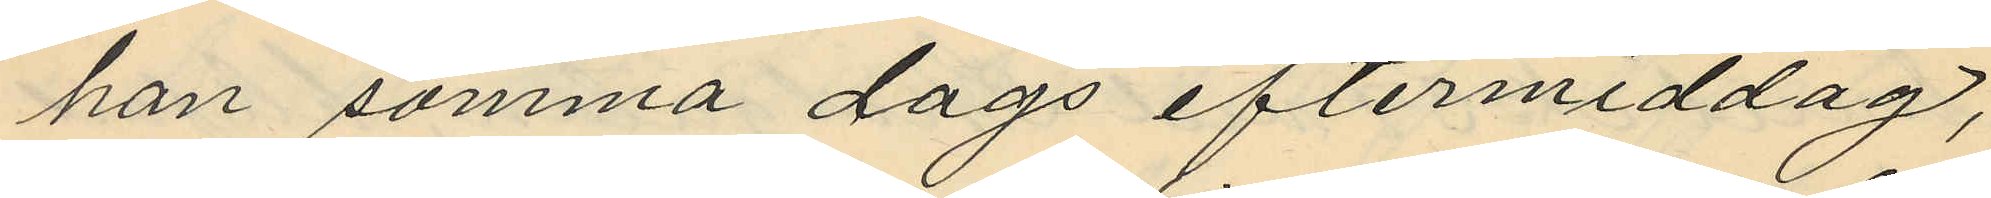han samma dags eftermiddag,
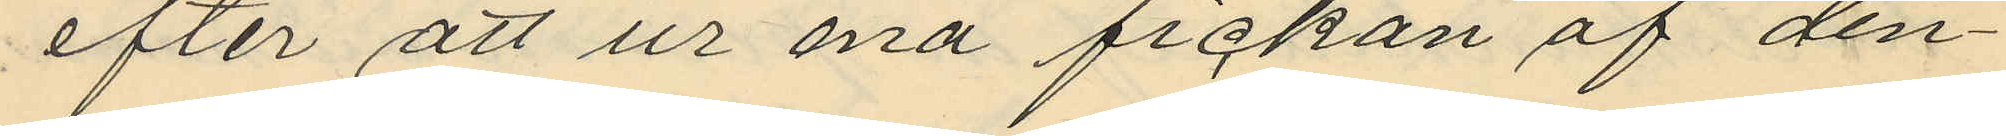efter att ur ena fickan af den¬
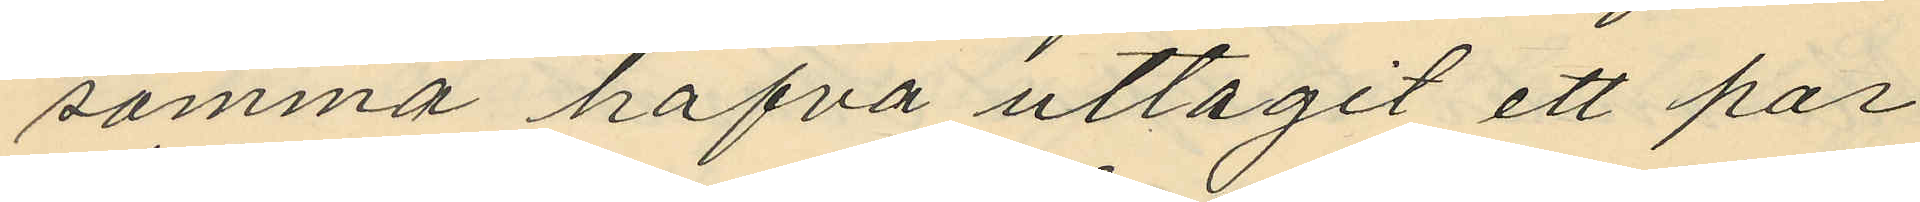samma hafva uttagit ett par
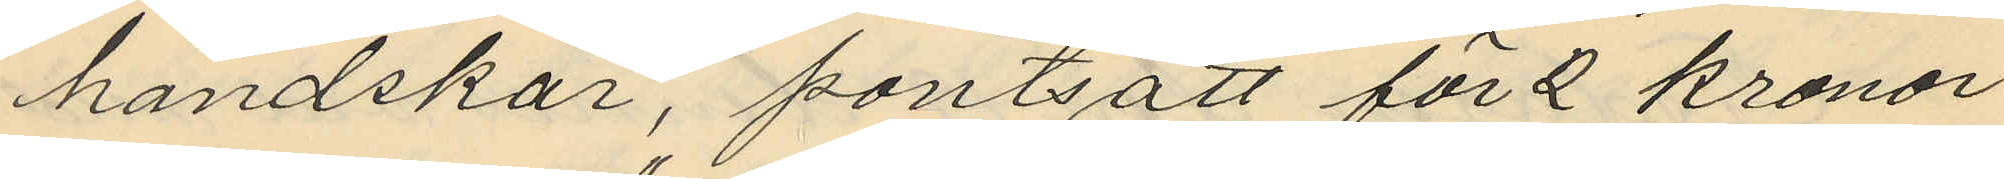handskar, pantsatt för 2 kronor
